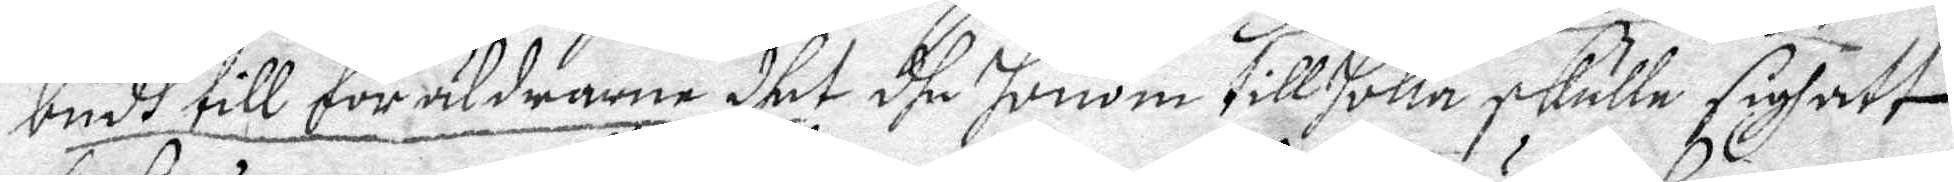budh till föräldrarne dhet dhe honom tillholla skulle sigh att
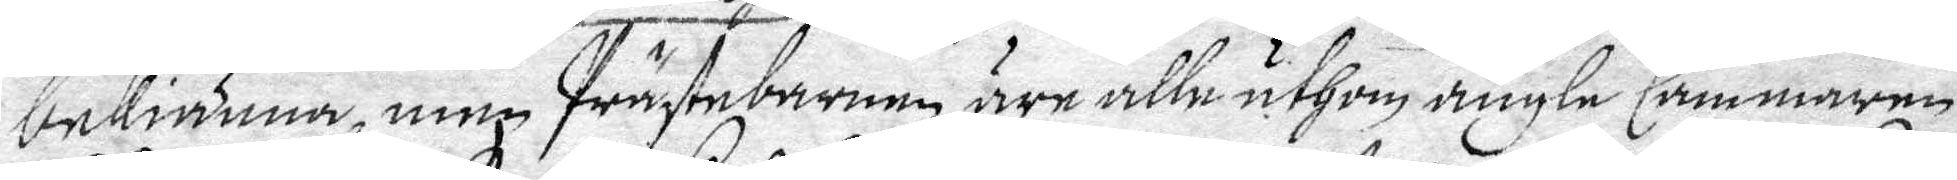bekiänna, men Prästebarnen äre alla uthom ängle Cammaren.
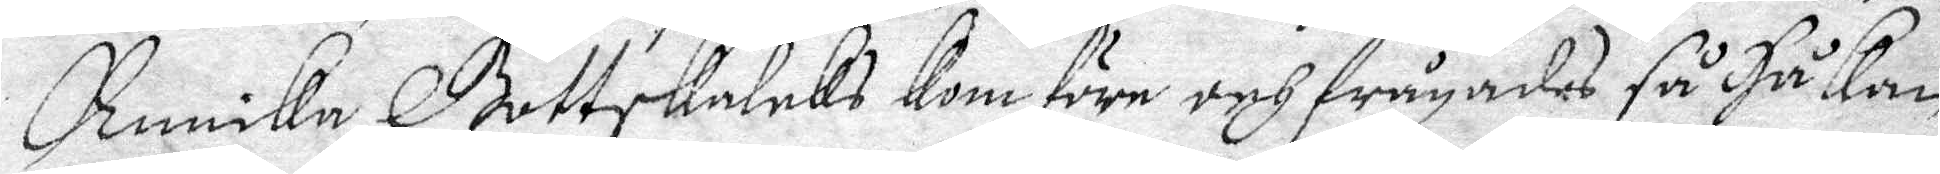Annika Gottskalcks Kom före och frågades så HåKan
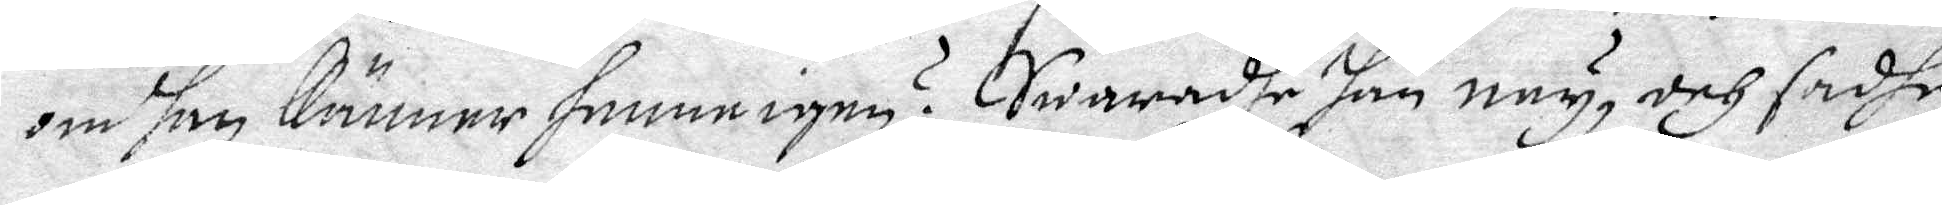om han känner hemne igen? Swaradhe han ney, och sadhe
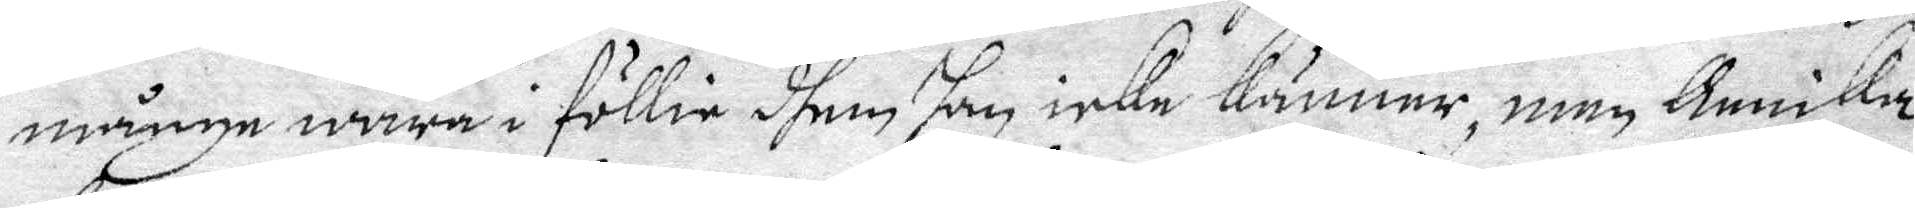många wara i föllie dhem han icke känner, men Annika
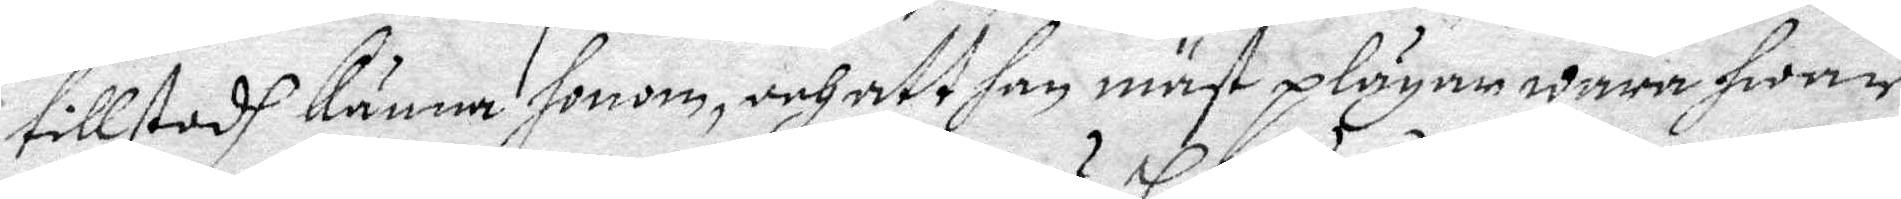tillstodh känna honom, och att han mäst plägar wara hwar
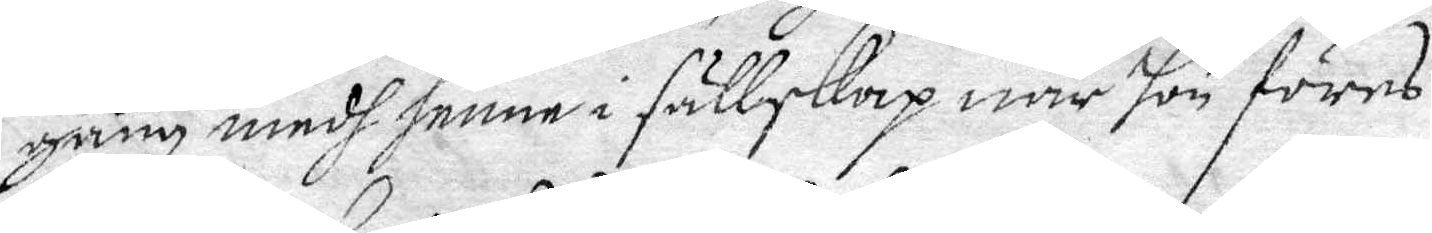gång medh henne i sällskap när hon föres.
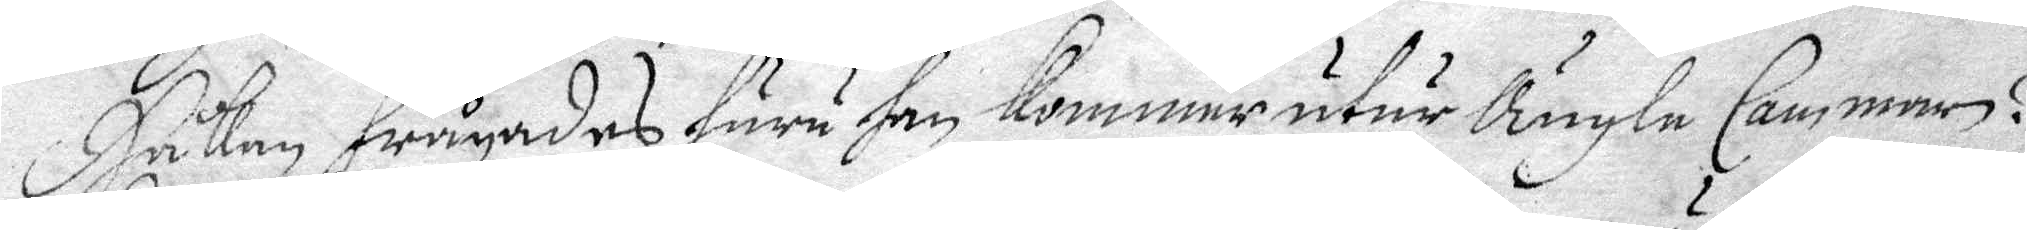Håkan frågades huru han kommer utur Ängle Cammaren?
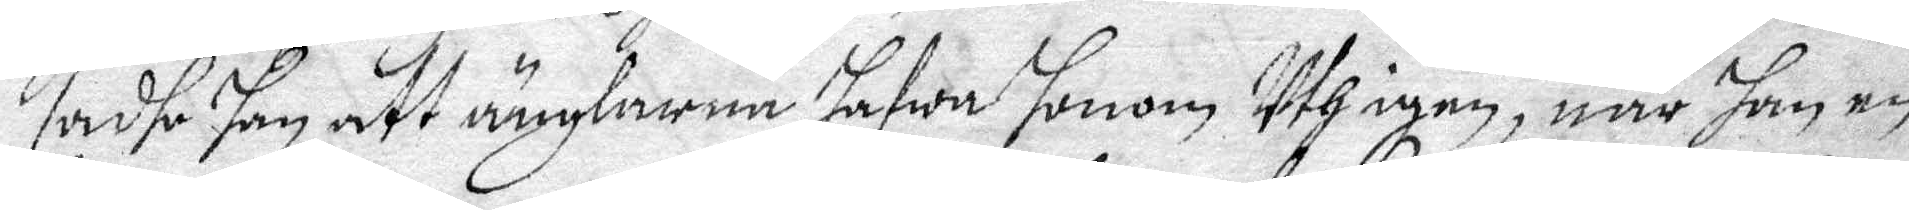sadhe han att änglarna hafwa honom Uth igen, när han en
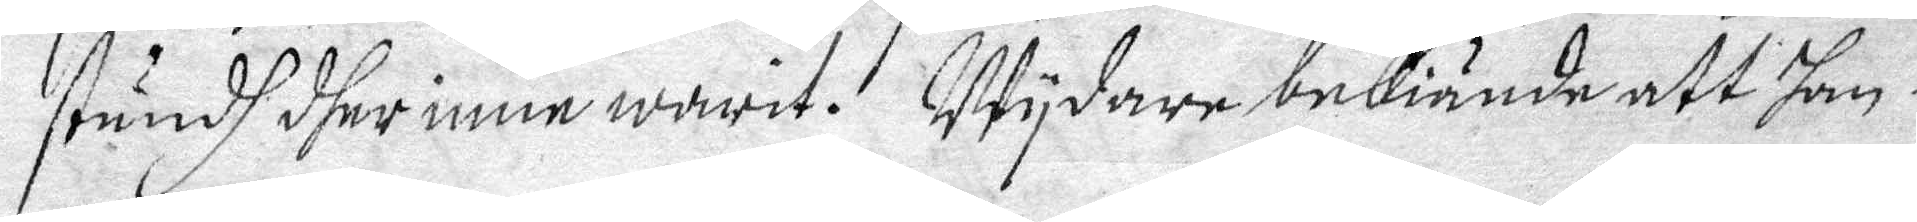stundh dher inne wårit. Wydare bekiända att han i
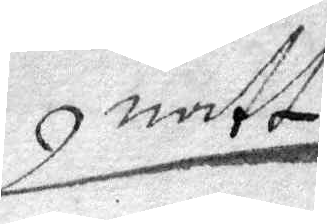natt
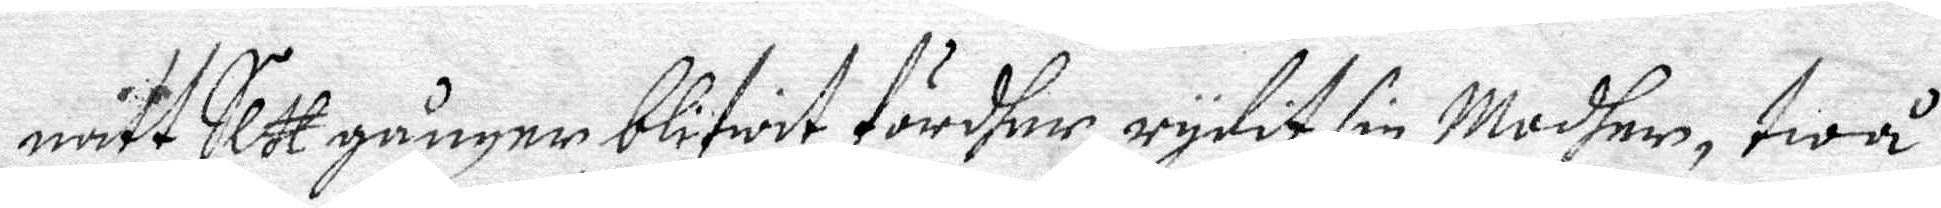natt Sez gånger blifwit fördher, rydit sin Modher, twå
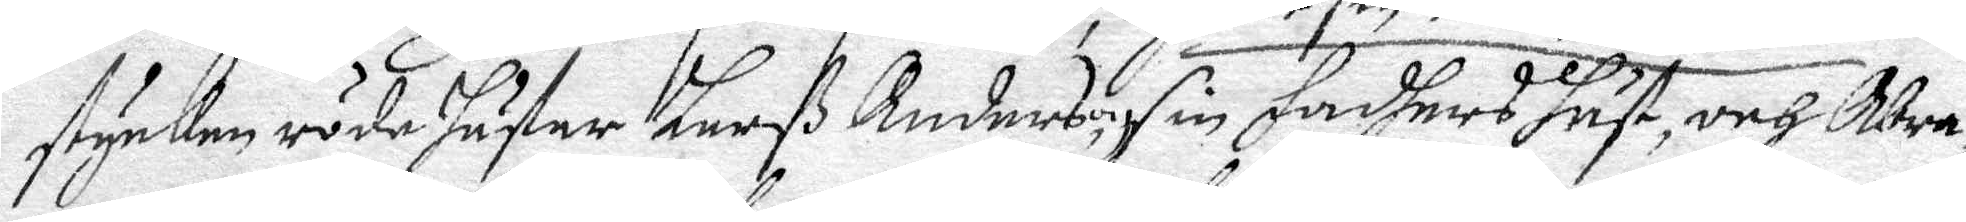stycken röde häster Larß Anderson, sin Fadhers häst, och Abra¬
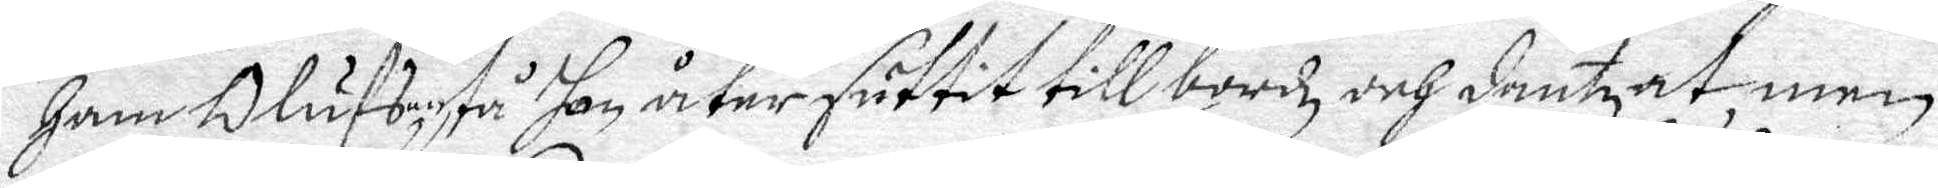Ham Olufson, tå han åter suttit till bordz och dantzat, men
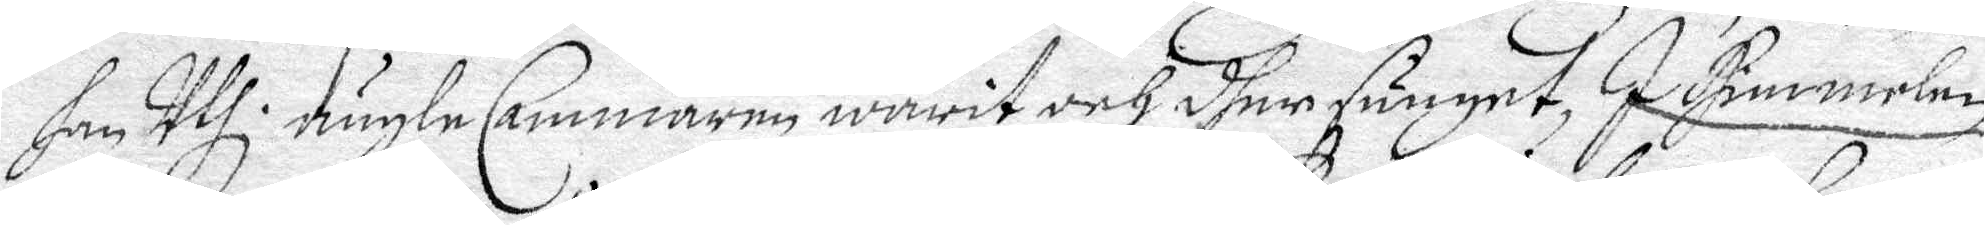han Uthi ängle Cammaren warit och dher sunget, I Himmelen
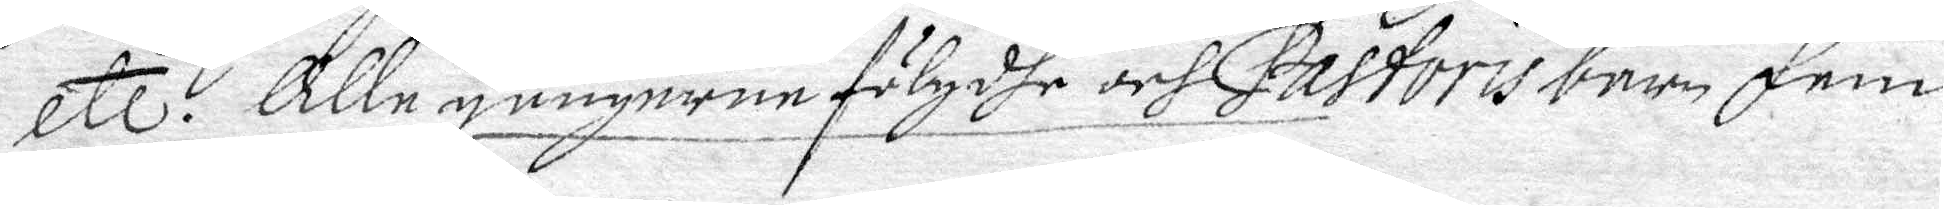Etc? Alle gångerne fölgdhe och Pastoris barn fem
